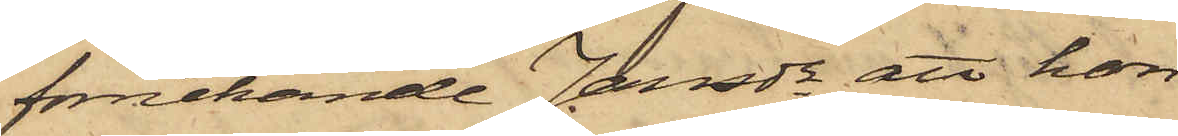förnekande Jansdr att hon
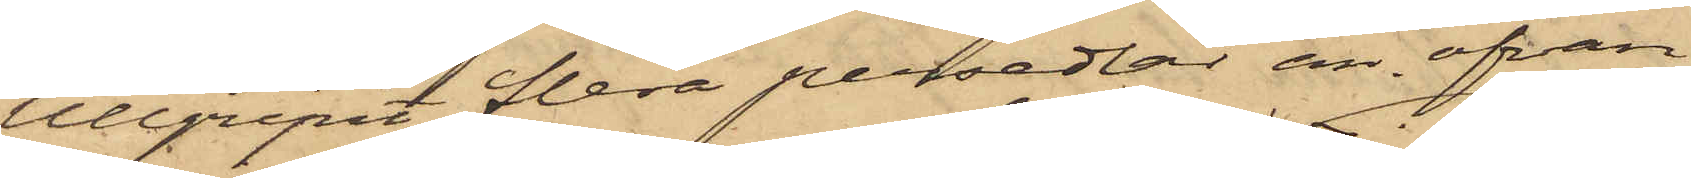tillgripit flera persedlar än ofvan
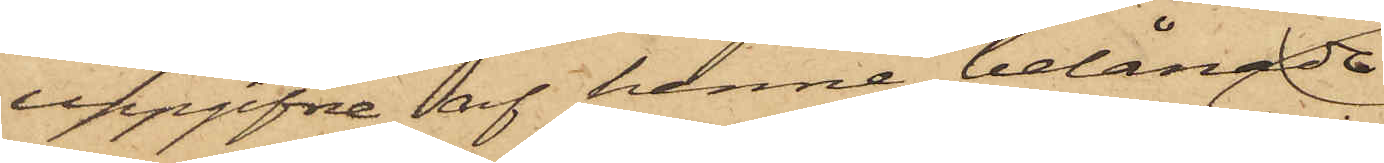uppgifne, af henne belånade.
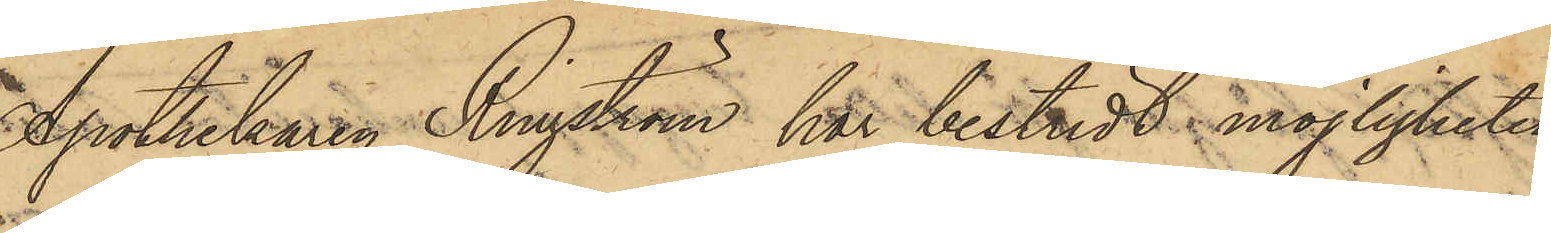Apothekaren Ringström har bestridt möjligheten
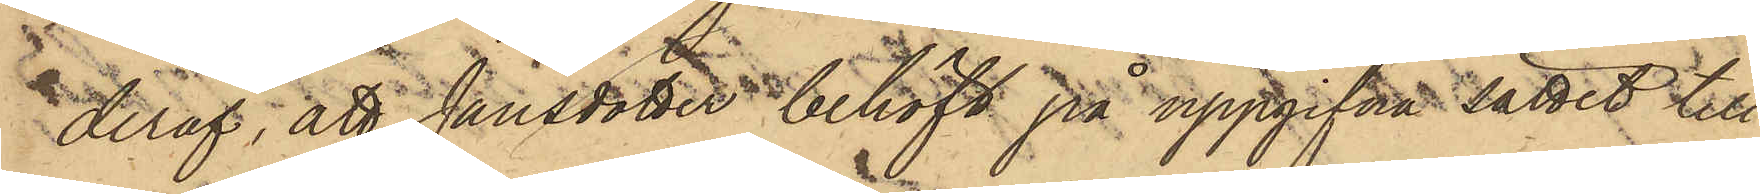deraf, att Jansdotter behöft på uppgifva sättet till
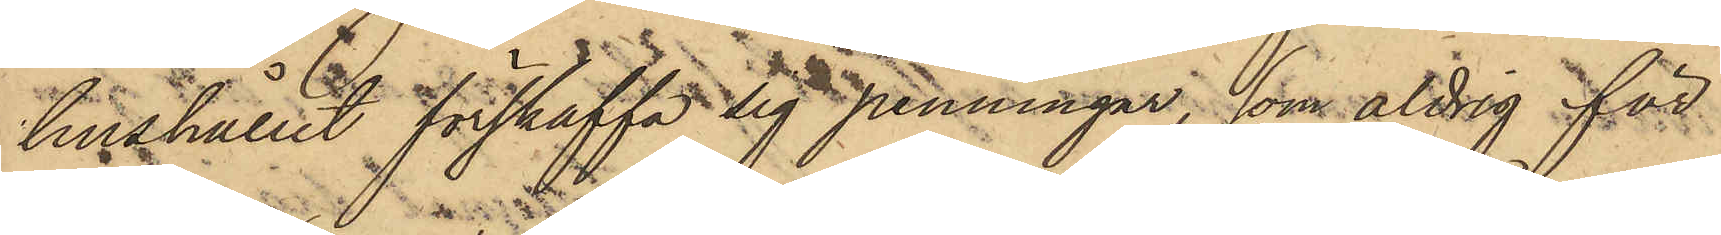hushållet förskaffa sig penningar, som aldrig för¬
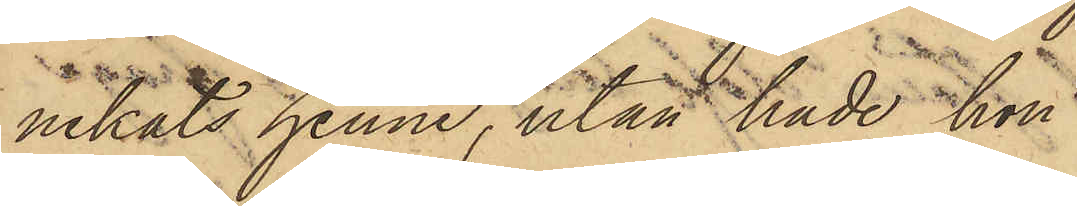nekats henne, utan hade hon
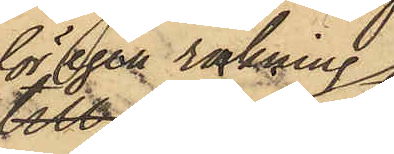för egen räkning
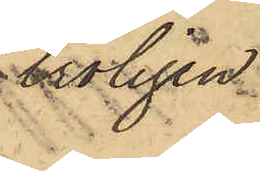troligen
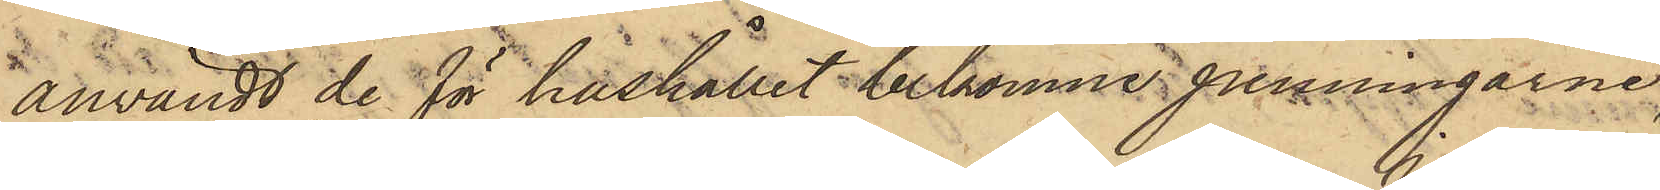användt de för hushållet bekomne penningarne,
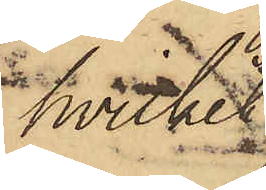hvilket
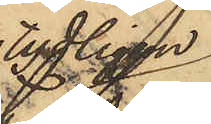tydligen
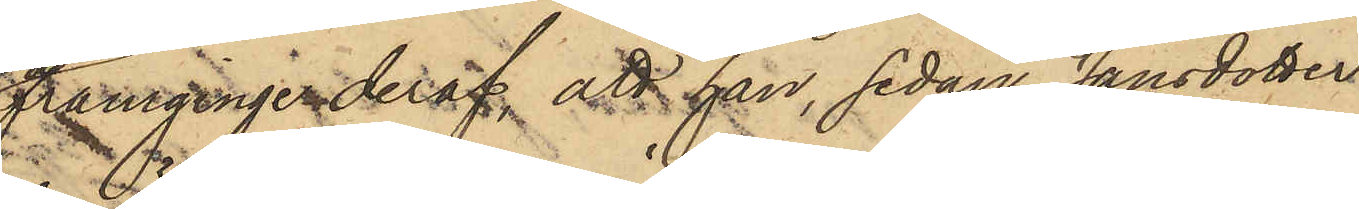framginge deraf; att han, sedan Jansdotter
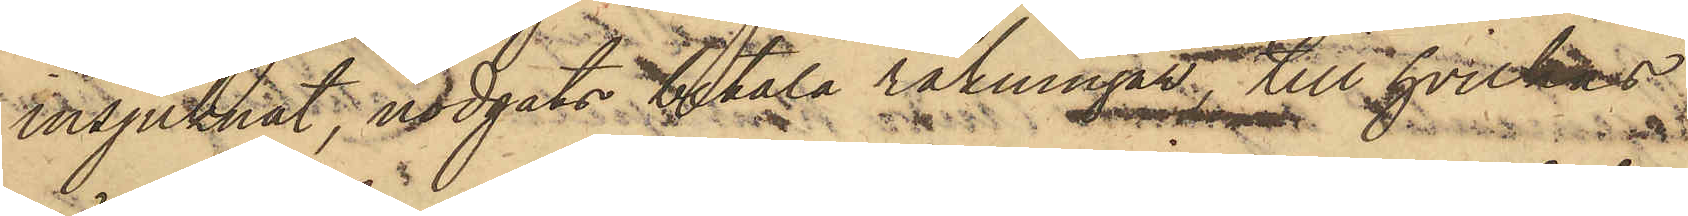insjuknat, nödgats betala räkningar, till hvilkas
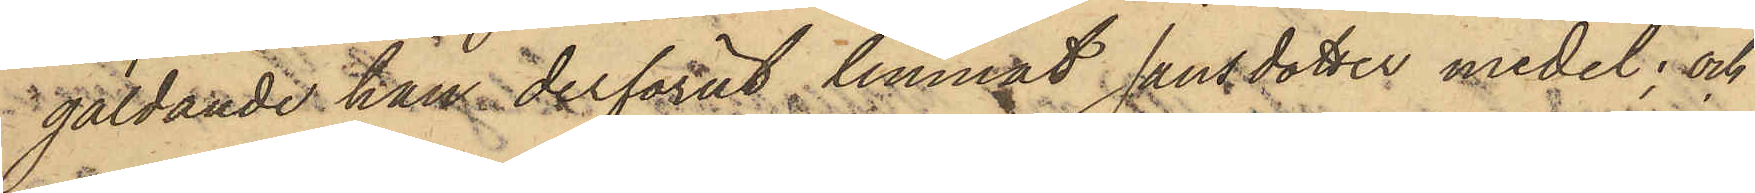gäldande han derförut lemnat Jansdotter medel; och
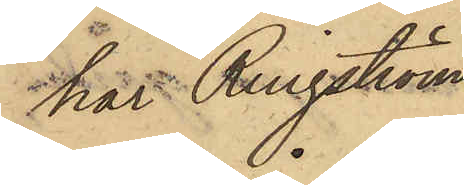har Ringström,
